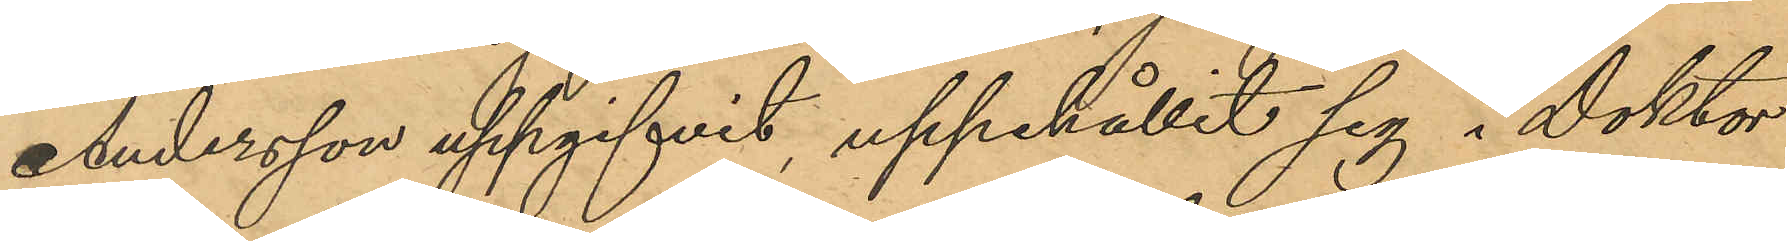Andersson uppgifvit, uppehållit sig i Doktor
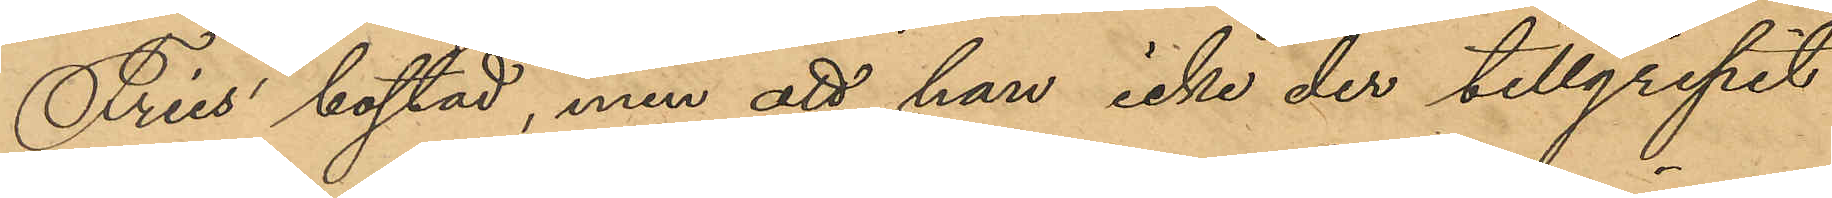Fries bostad, men att han icke der tillgripit
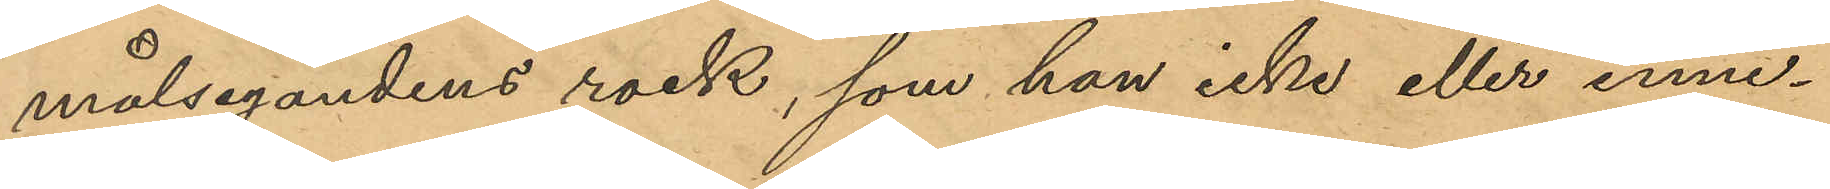målsegandens rock, som han icke eller inne¬
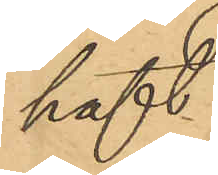haft.
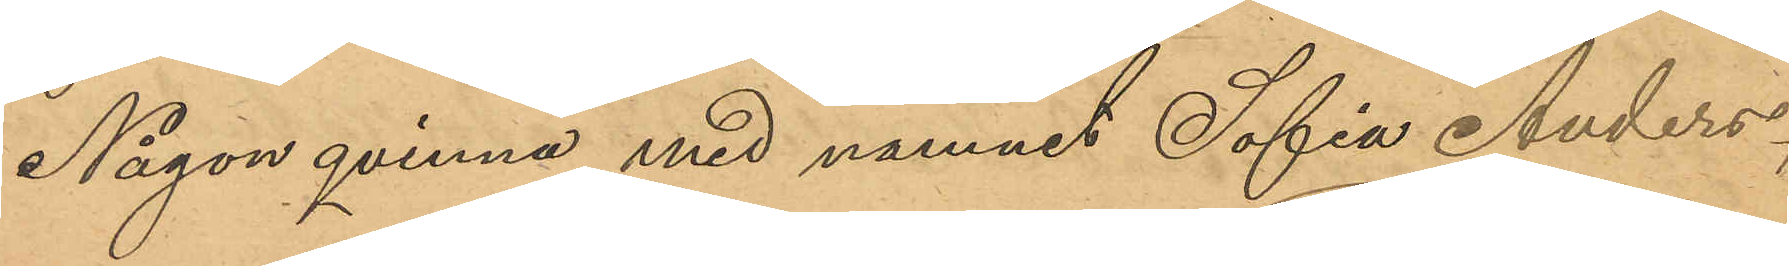Någon qvinna vid namnet Sofia Anders¬
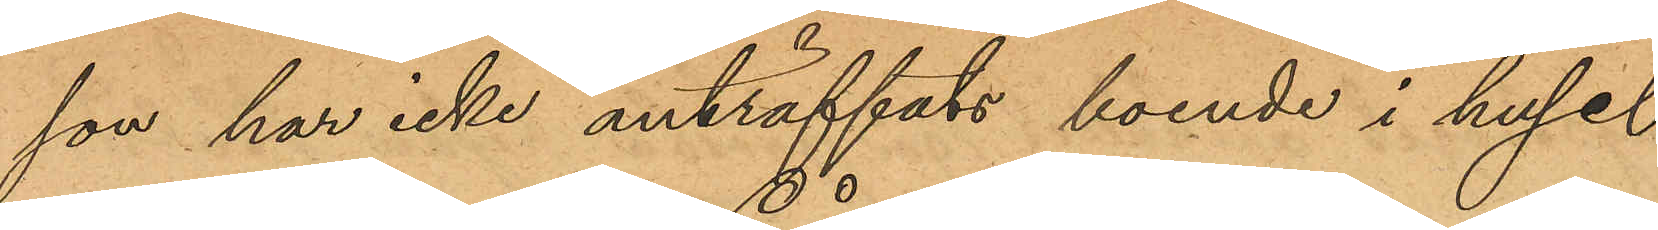son har icke anträffats boende i huset 
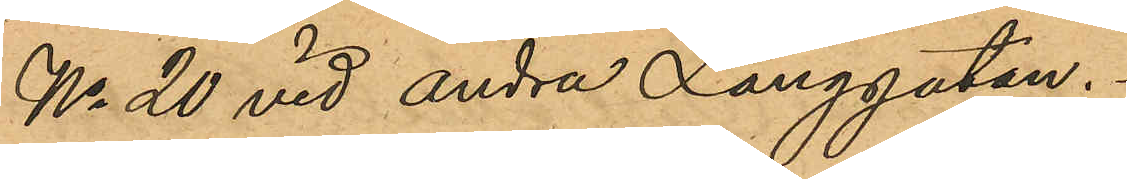No 20 vid Andra Långgatan.
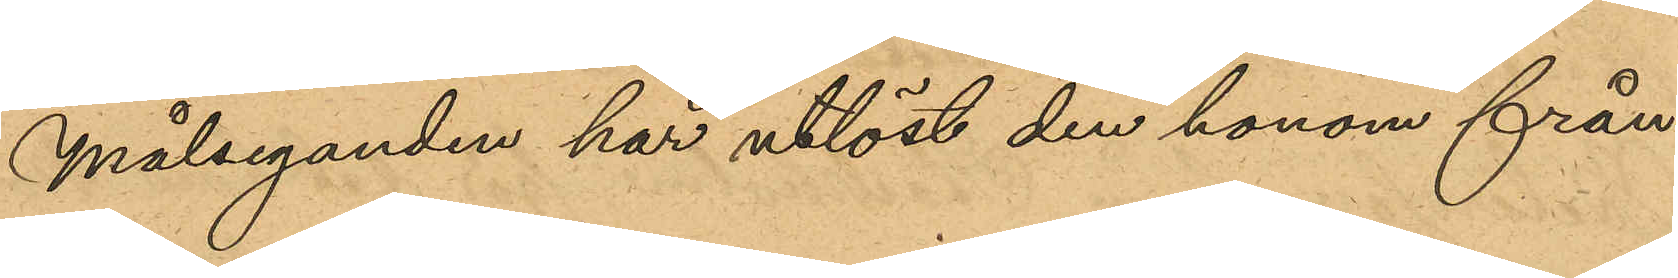Målseganden har utlöst den honom från¬
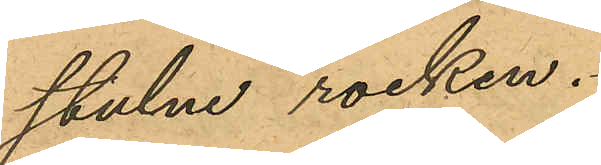stulne rocken
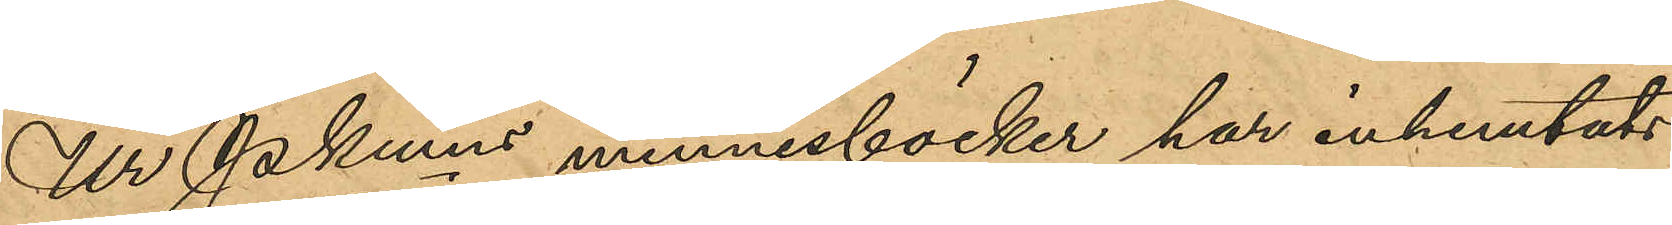Ur Pkmns minnesböcker har inhemtats
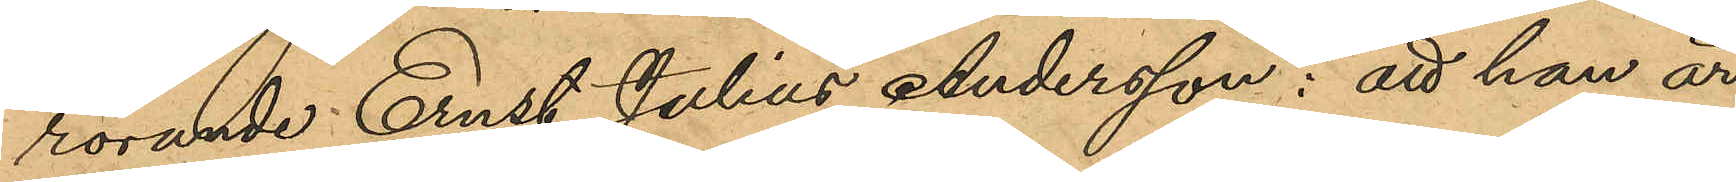rörande Ernst Julius Andersson; att han är
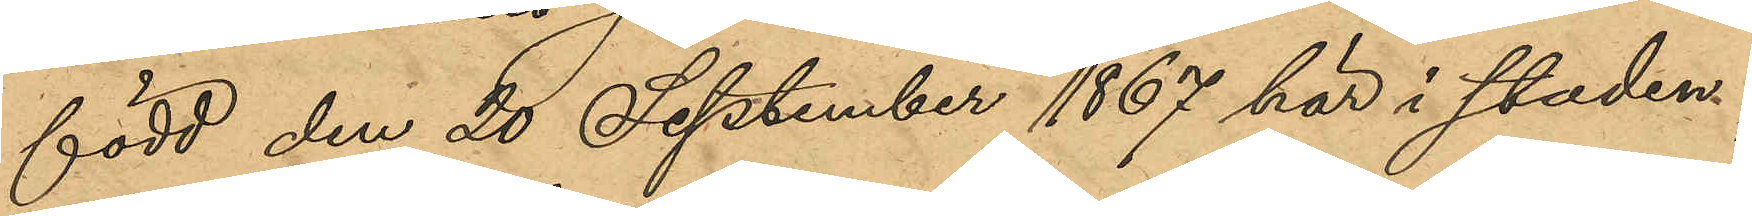född den 20 September 1867 här i staden; 
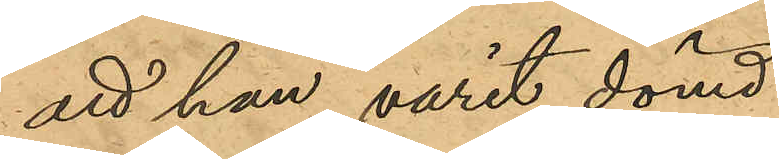att han varit dömd:
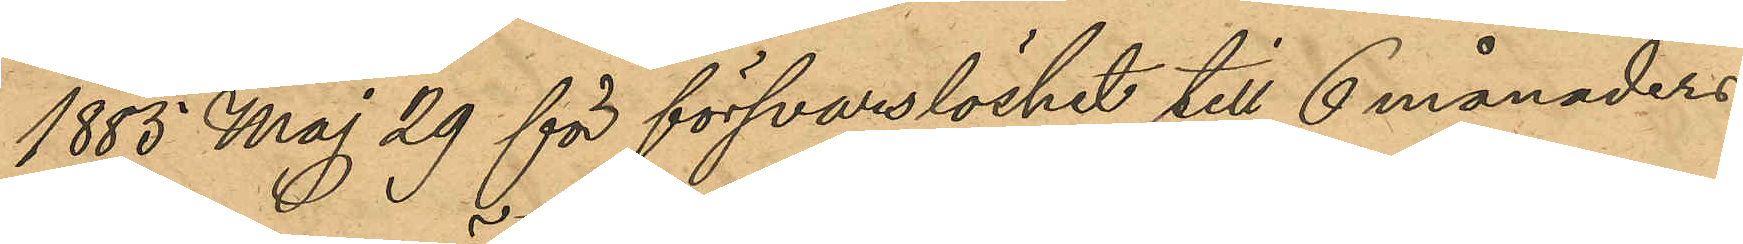1883 Maj 29 för försvarslöshet till 6 månaders
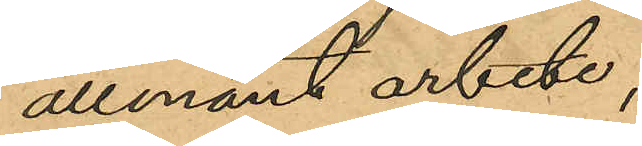allmänt arbete;
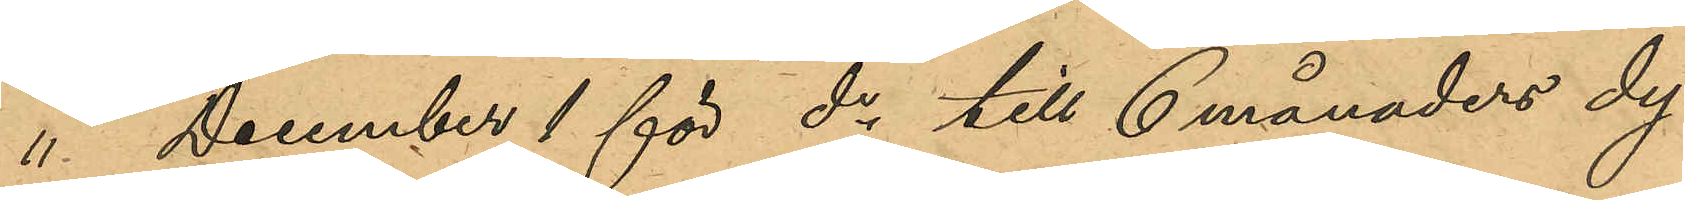" December 1 för do till 6 månaders dy¬
